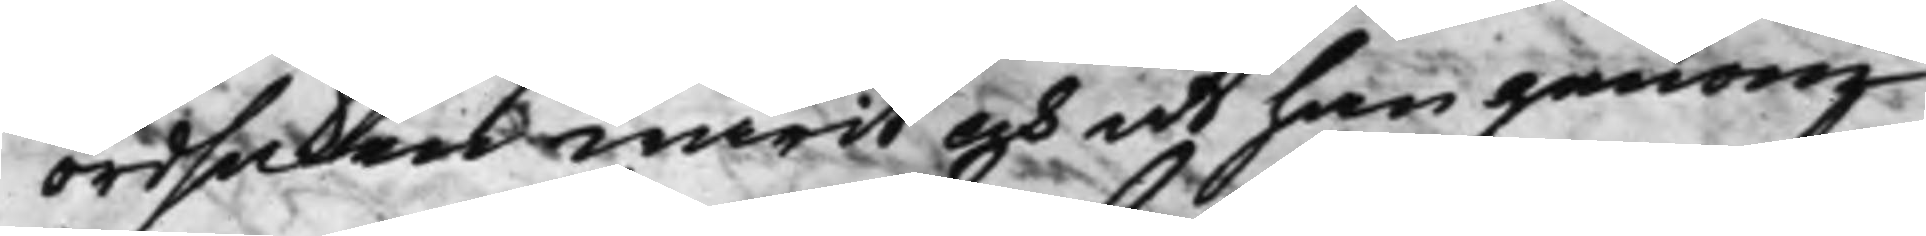ordsaken warit och at han genom
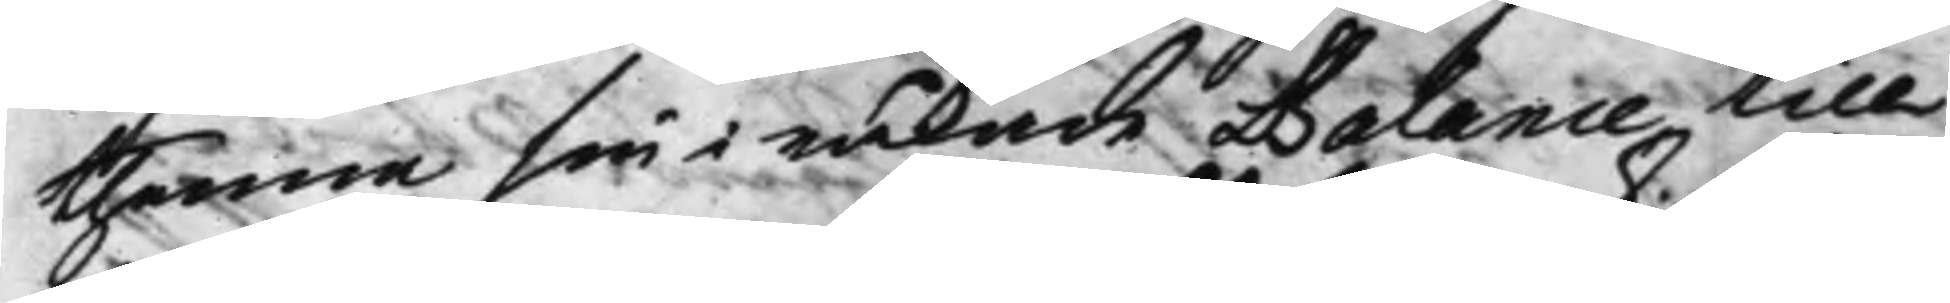thenna sin i råkade Balance till
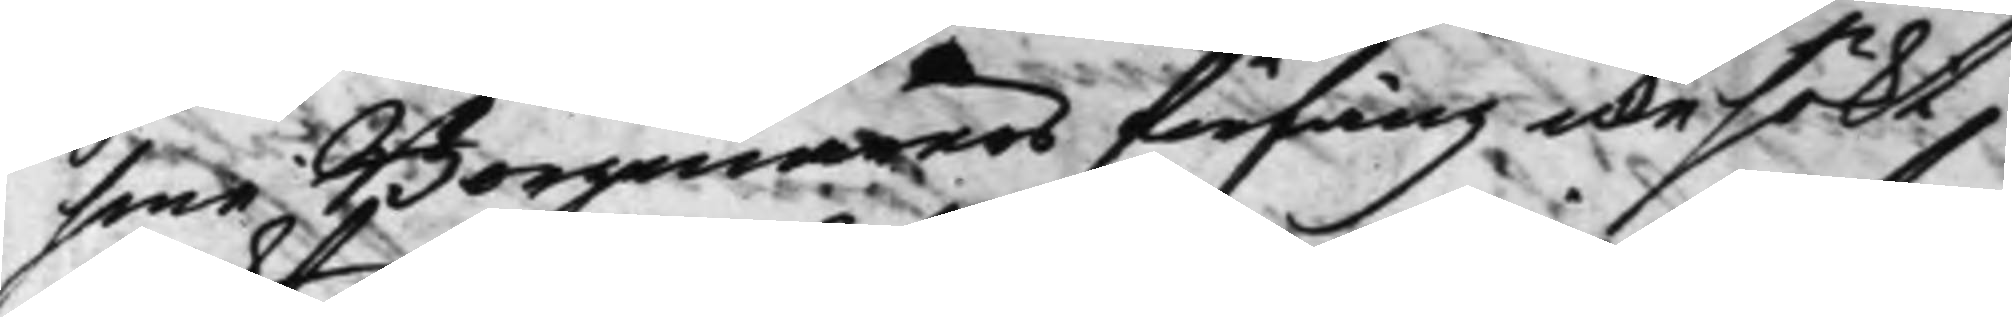sine Borgenärers förfång icke sökt
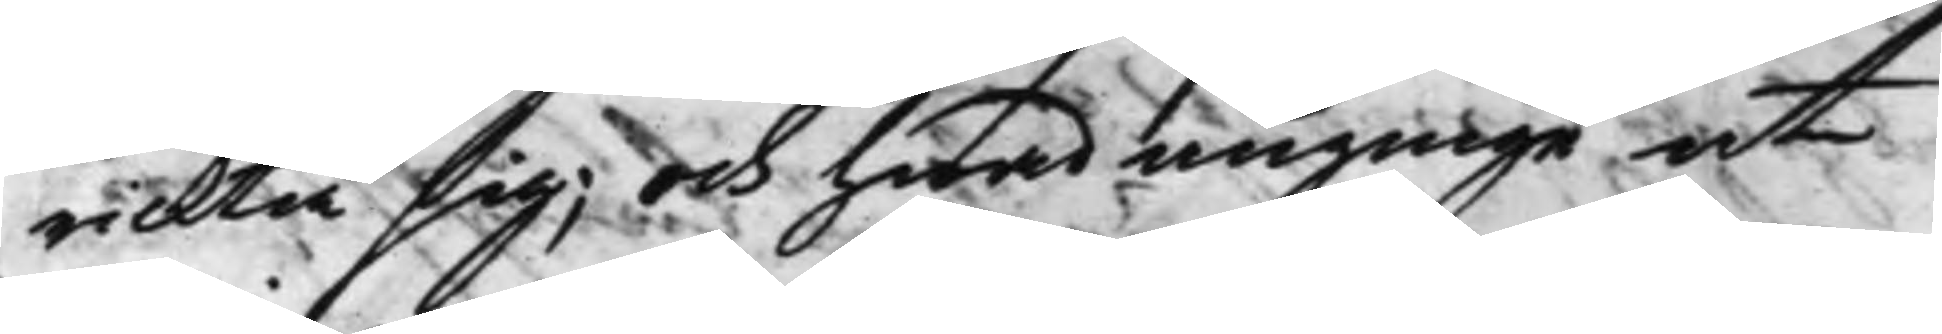rickta sig; Och hwad anginge at
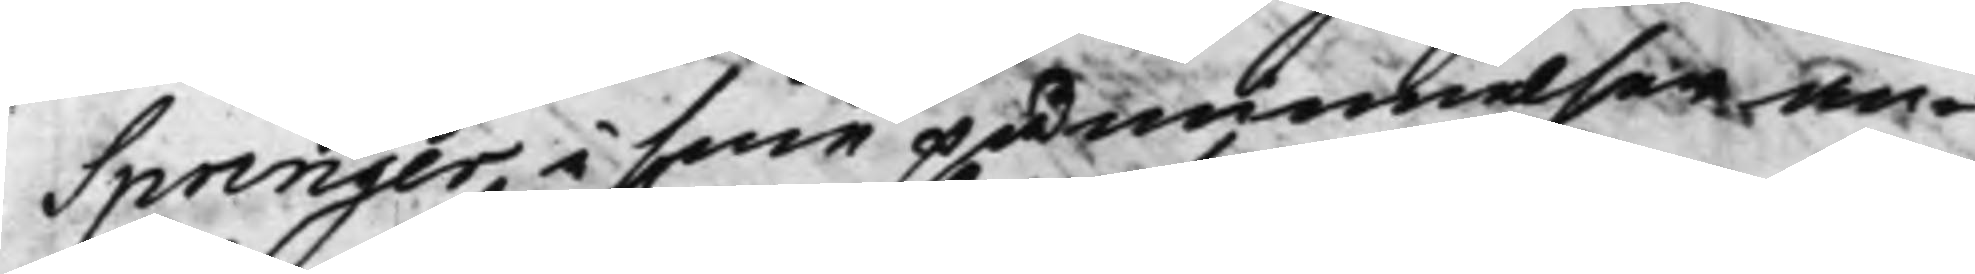Springer, i sine påminnelser an¬
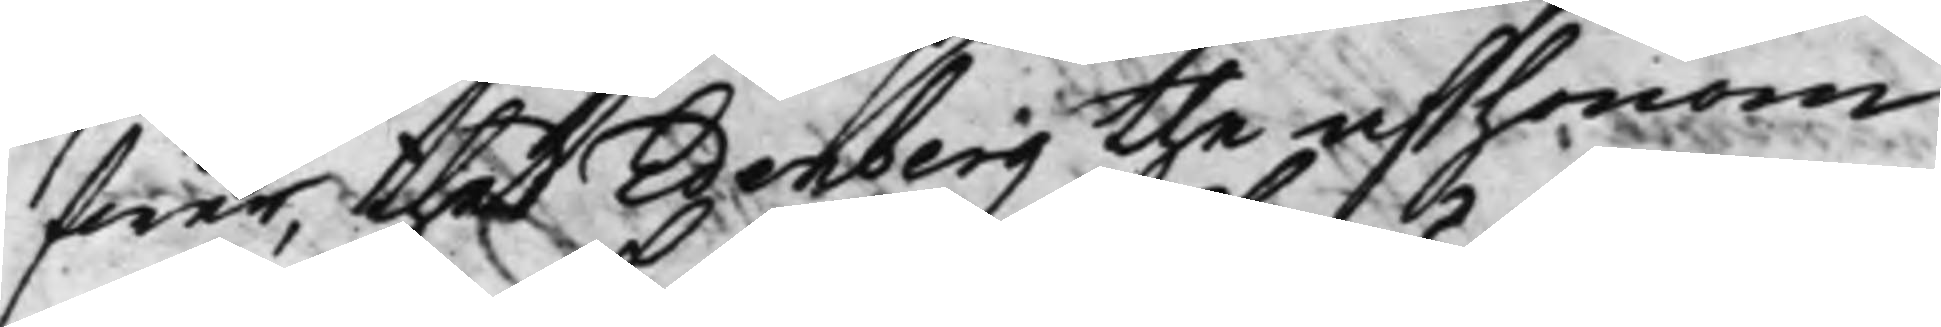förer, thet Edenberg the af honom
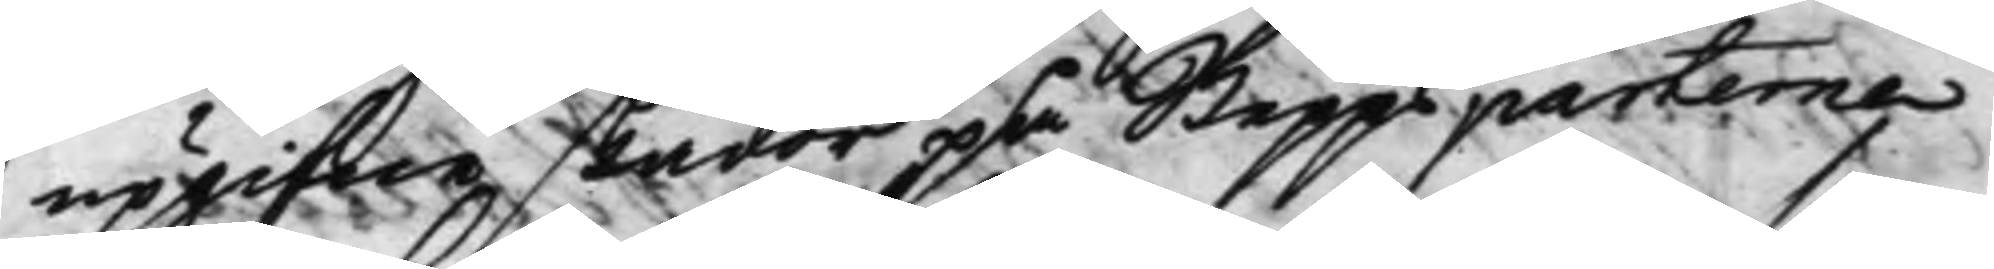upgifne skador på Skeppsparterne
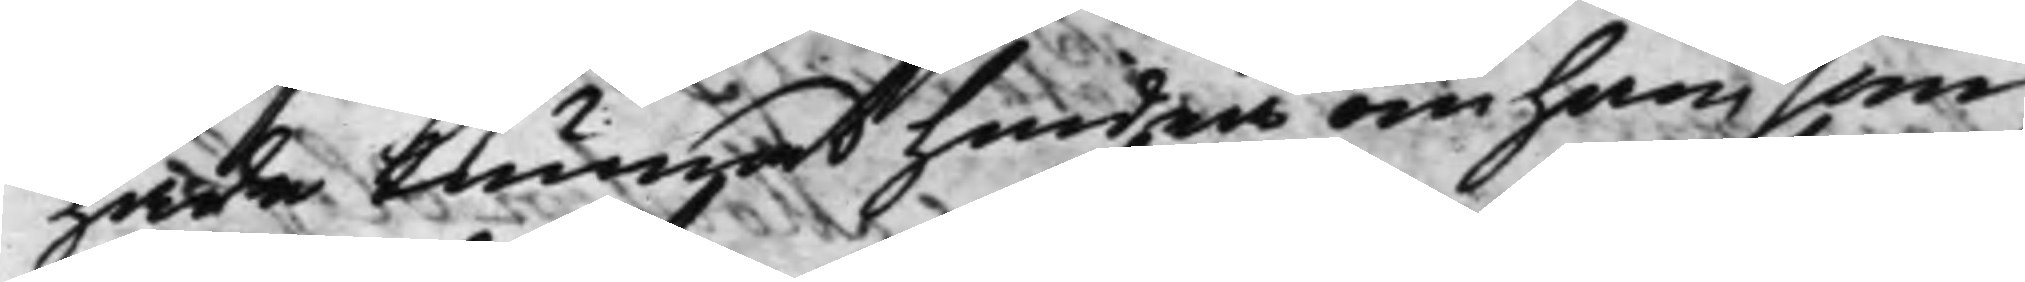hade kunnat hindras om han som
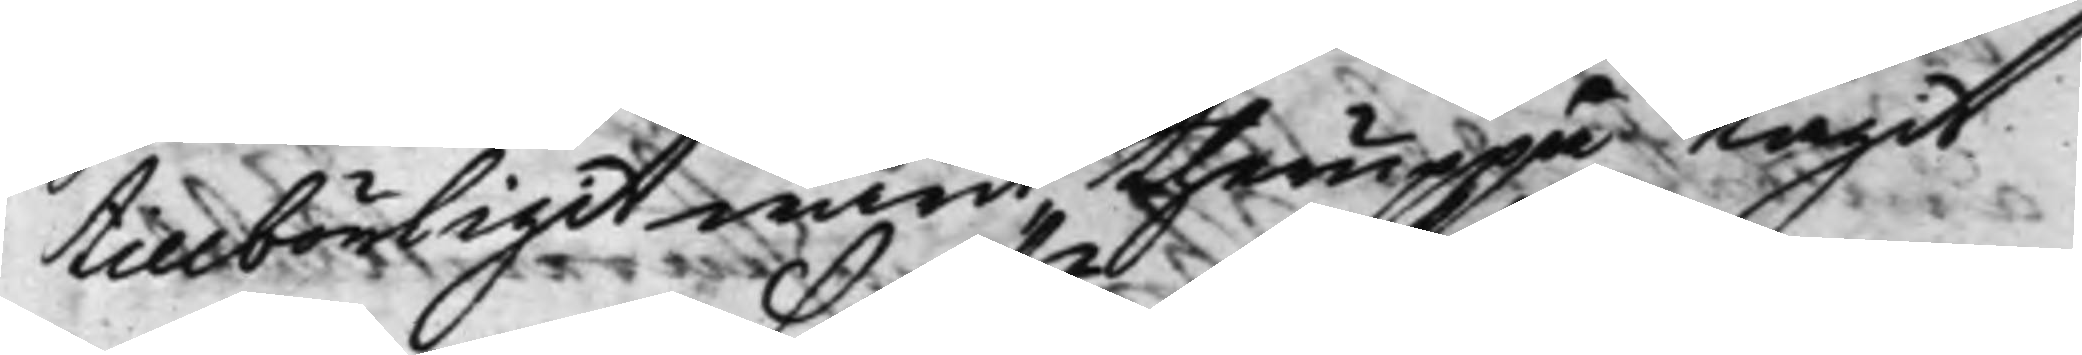tillbörligit warit theruppå tagit
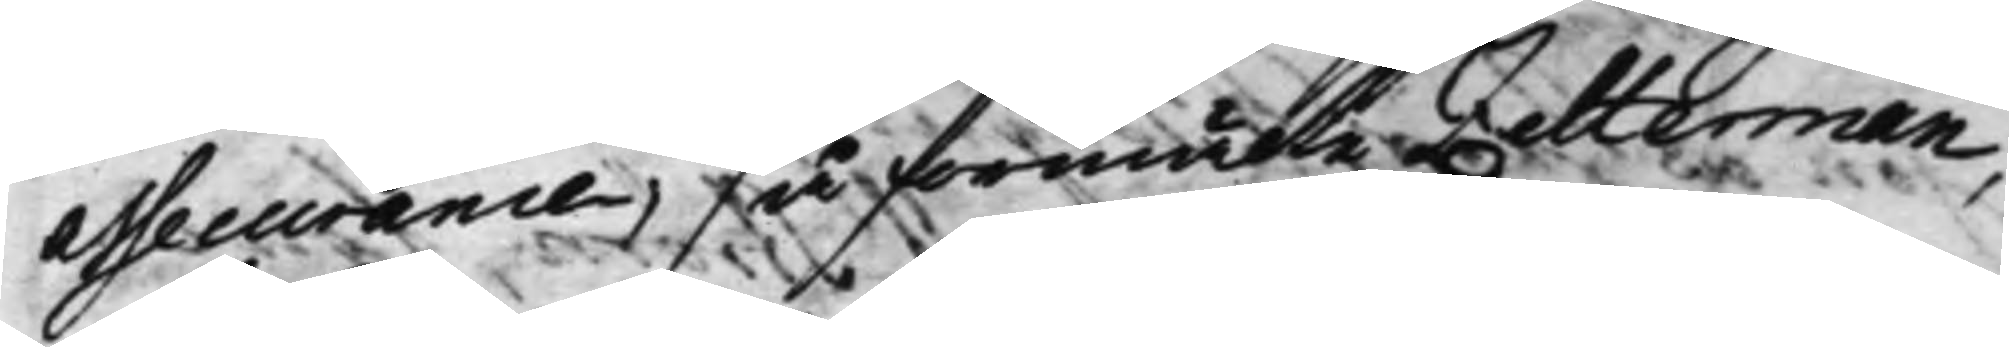Assecurance, så förmäler Zetterman,
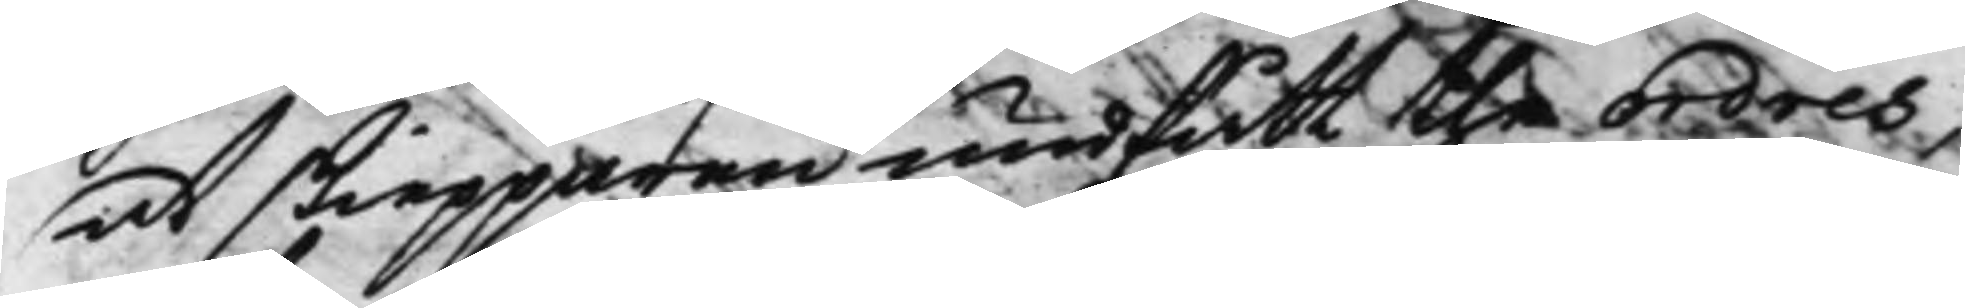at skiepparen undfått the ordres
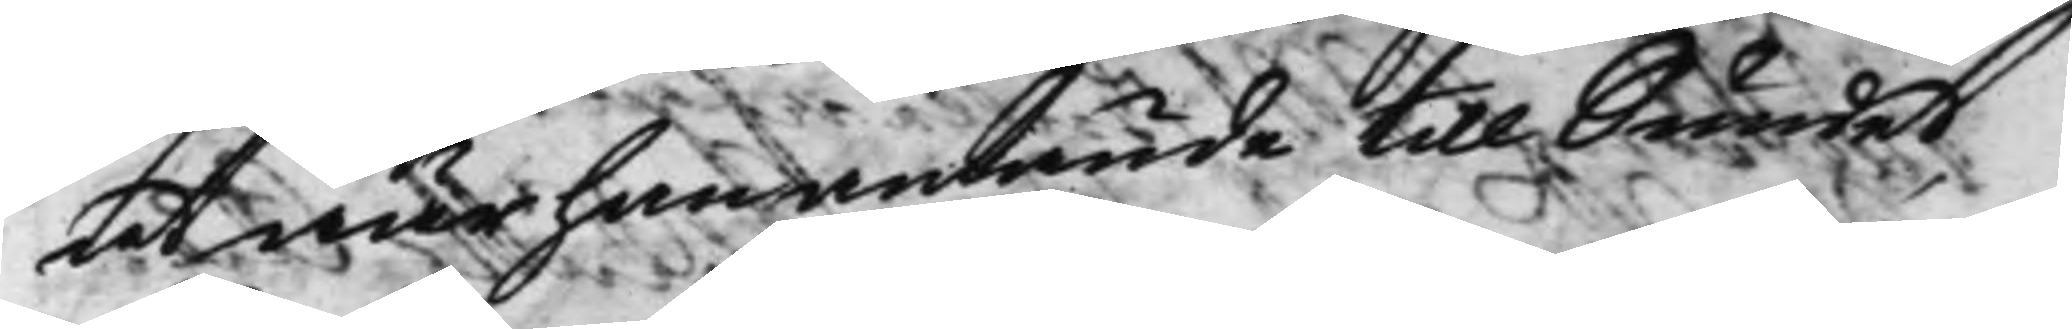at när han anlände till Sundet
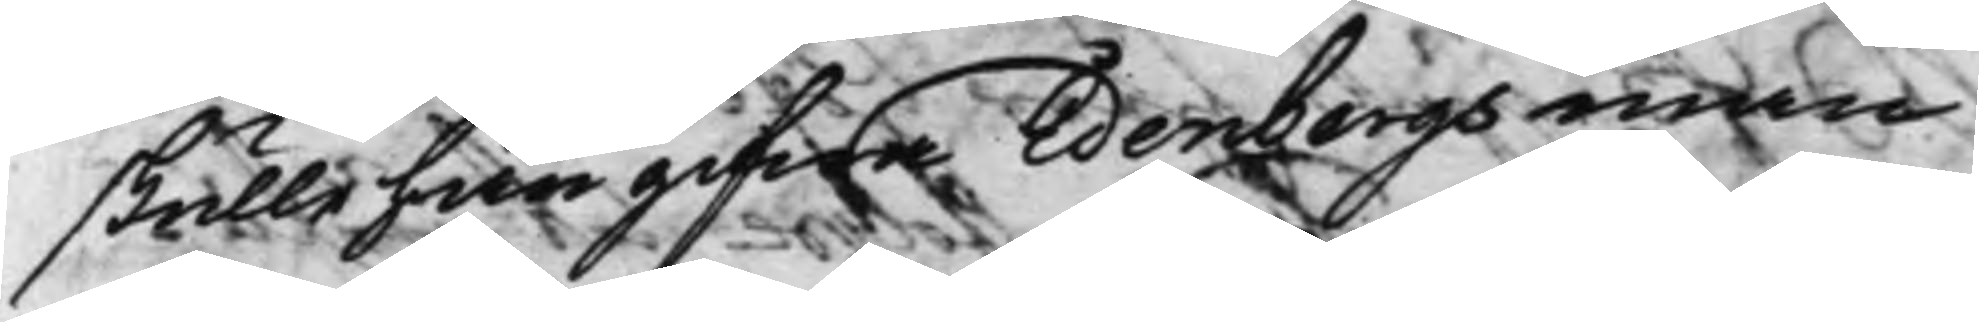skulle han gifwa Edenbergs man
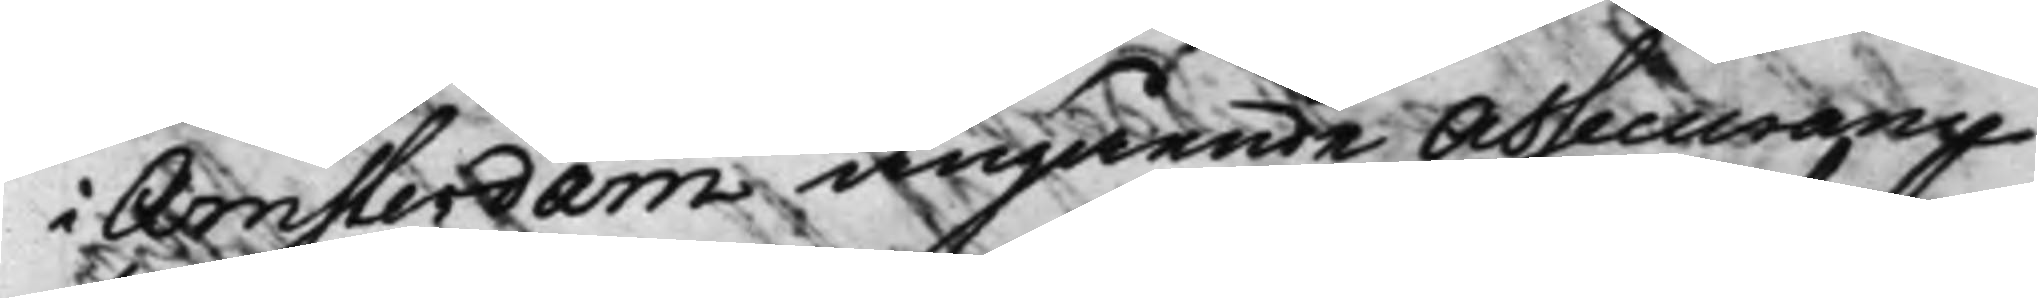i Amsterdam angående Assecurance
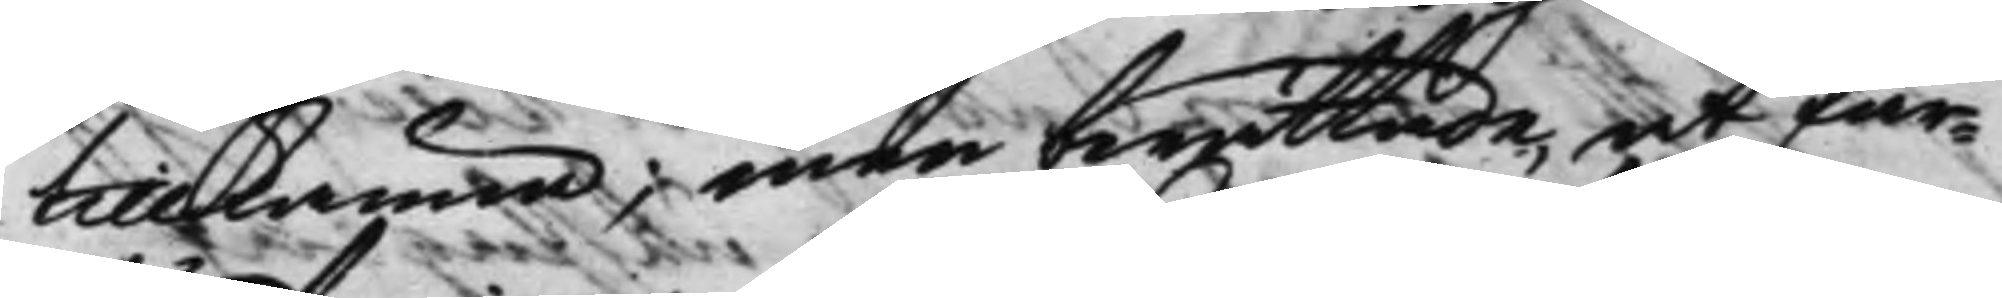tillkänna; men berättade, at far¬
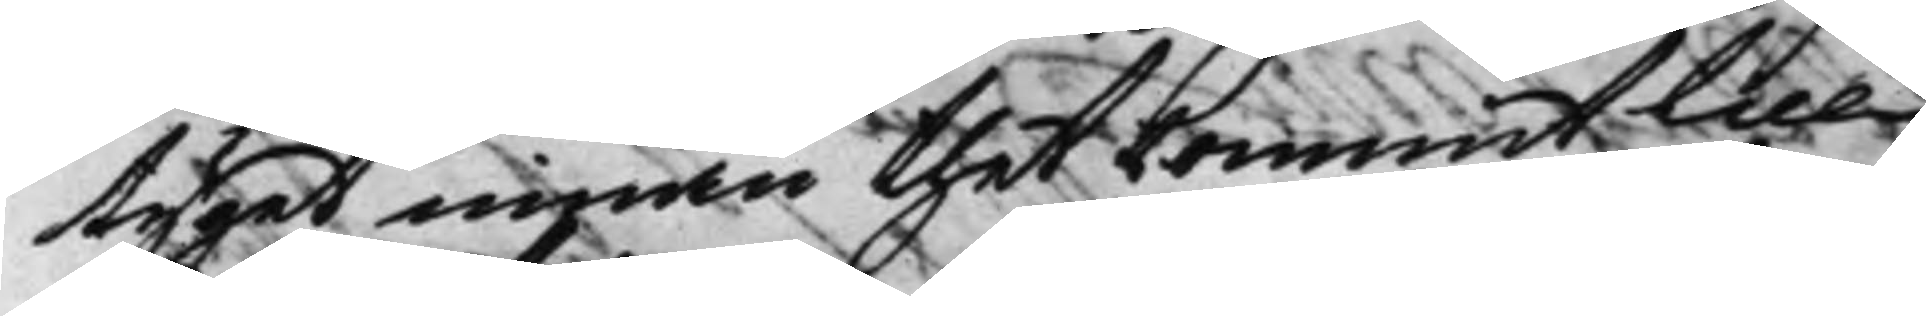tyget innan thet kommit till
